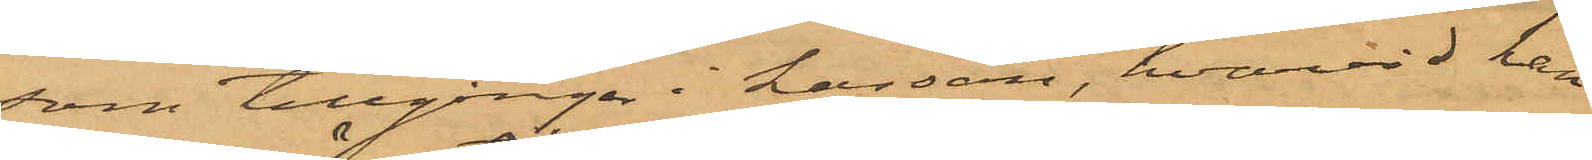som tillgångar i kassan, hvarvid han
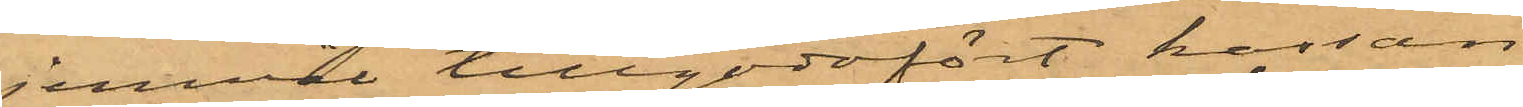jemväl tillgodofört kassan
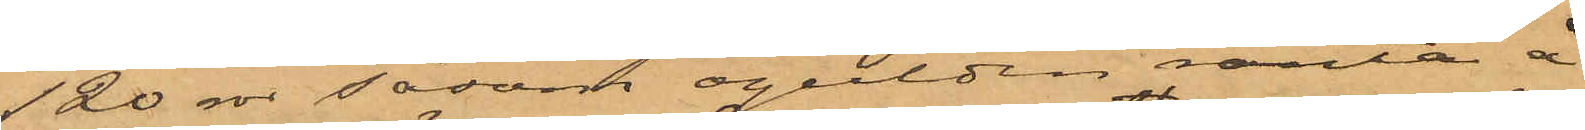120 rdr såsom ogulden ränta å
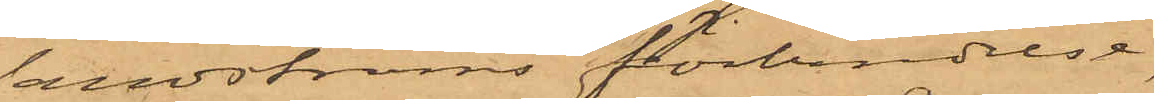Sandströms förbindelse
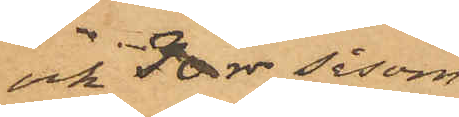och 30 rdr såsom
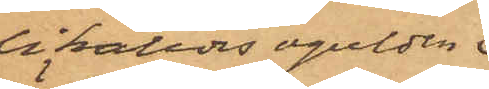likaledes ogulden.
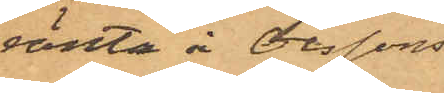ränta å Olssons;
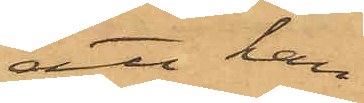att han
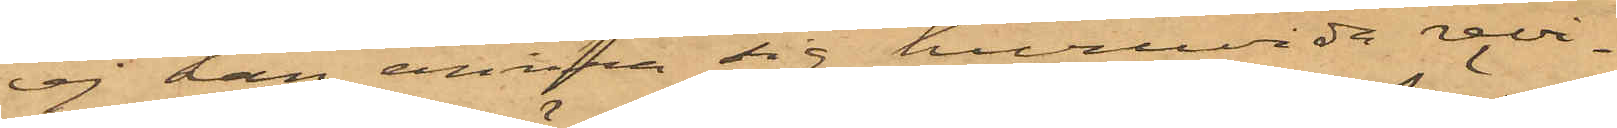ej kan erinra sig huruvida revi¬
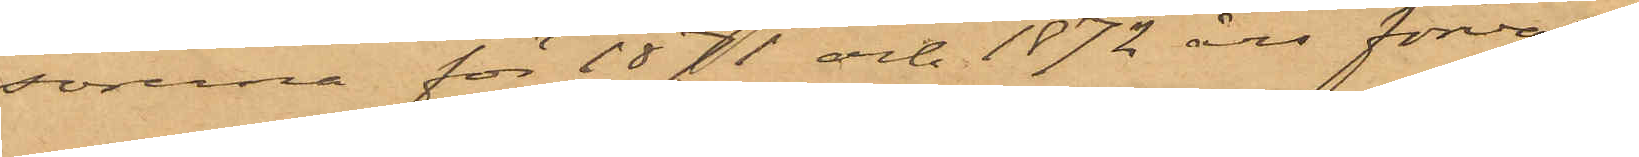sorerna för 1871 och 1872 års förvalt¬
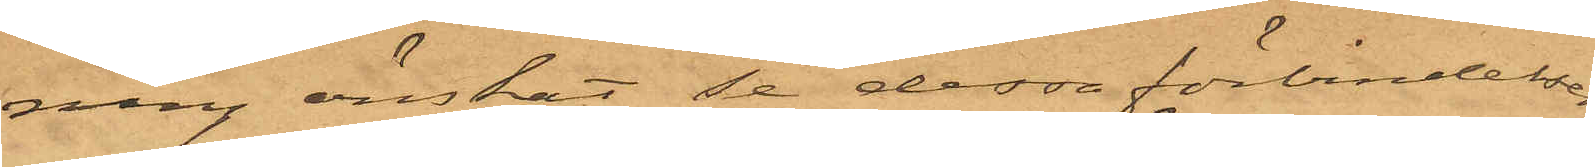ning önskat se dessa förbindelser,
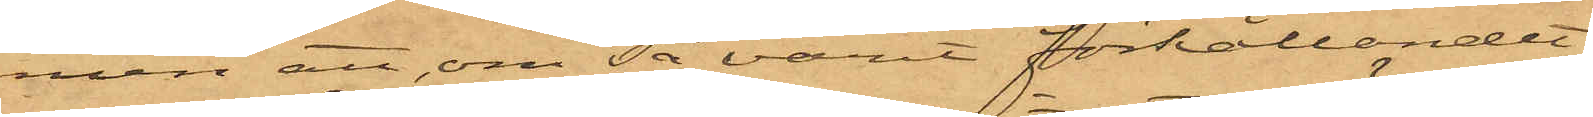men att om så varit förhållandet,
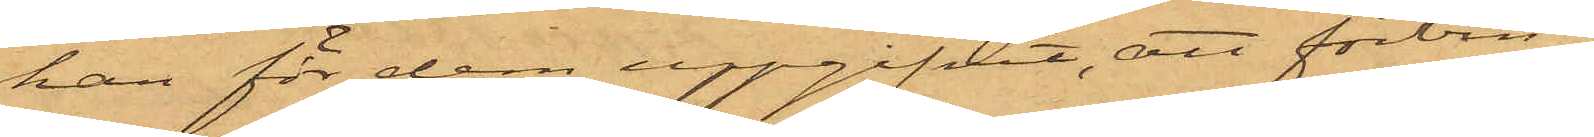han för dem uppgifvit, att förbin¬
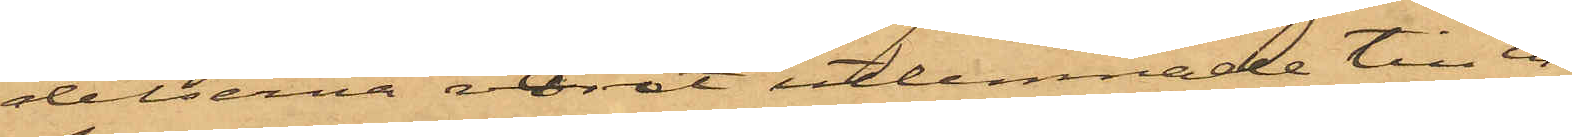delserna varit utlemnade till in¬
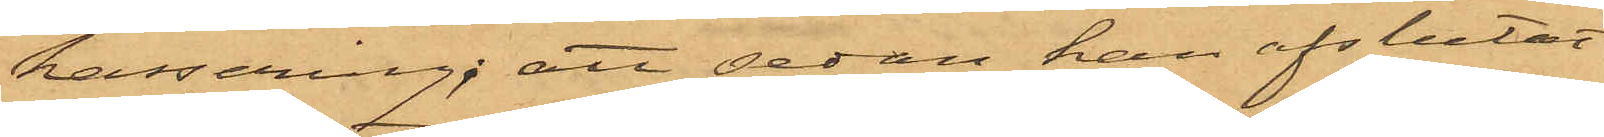kassering; att sedan han afslutat
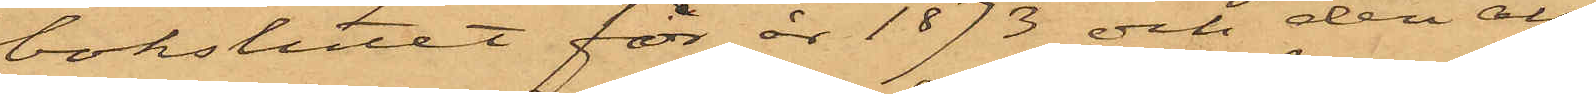bokslutet för år 1873 och deri all¬
